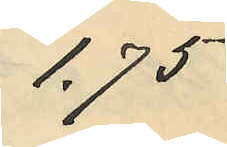1,75
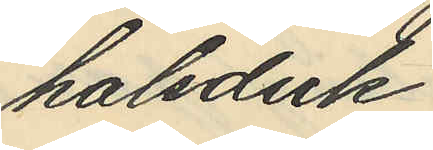halsduk
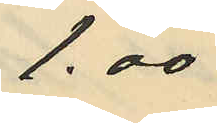1.00
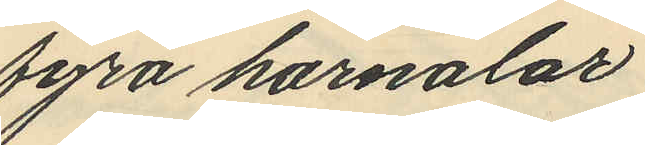fyra hårnålar
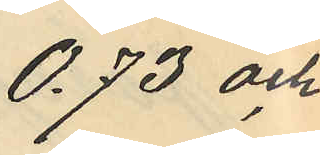0.73 och
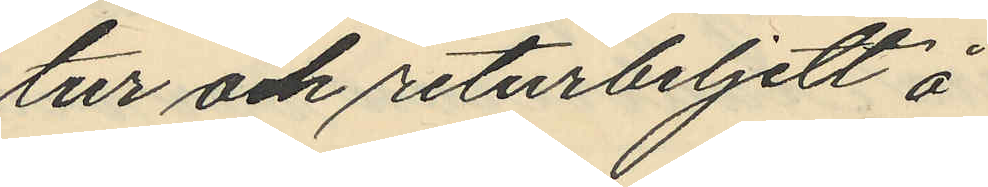tur och returbiljett å
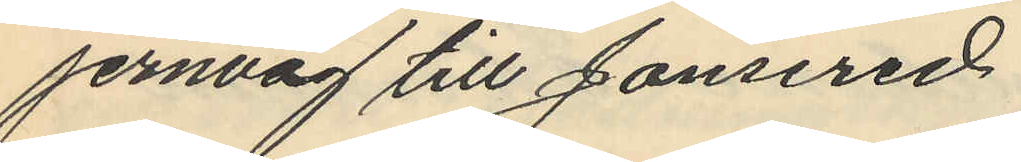jernväg till Jonsered
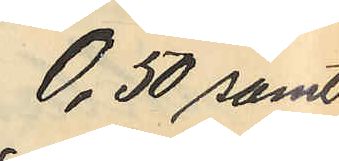0,50 samt
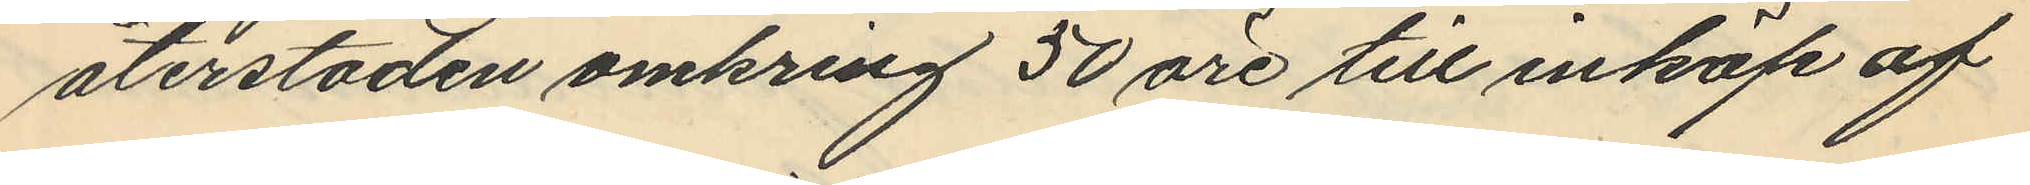återstoden omkring 50 öre till inköp af
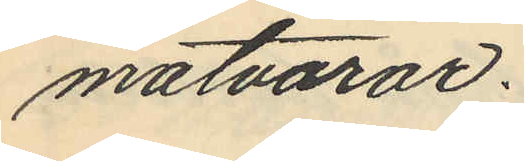matvaror.
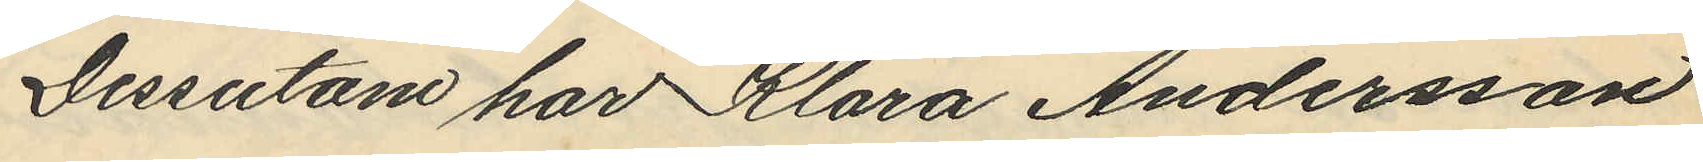Dessutom har Klara Andersson
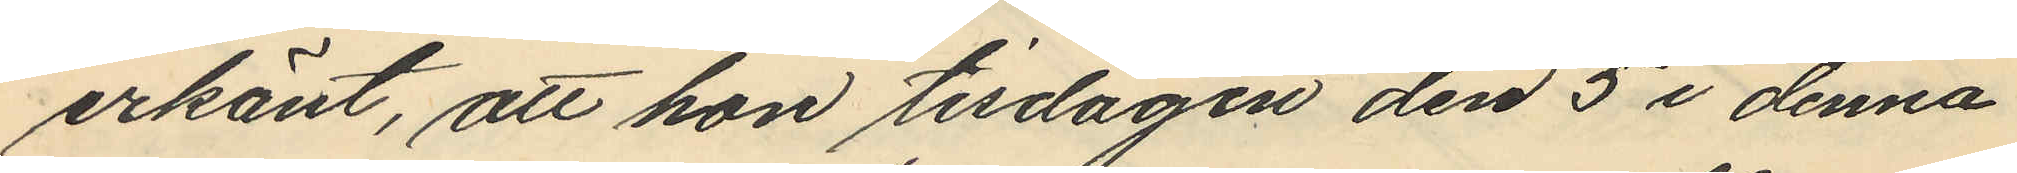erkänt, att hon tisdagen den 5 i denna
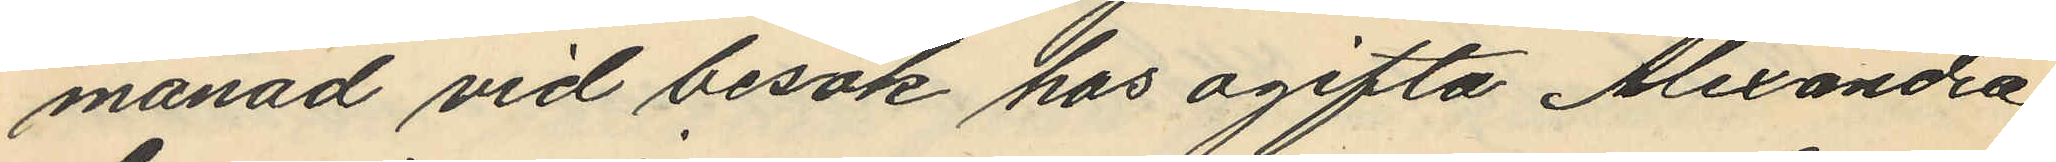månad vid besök hos ogifta Alexandra
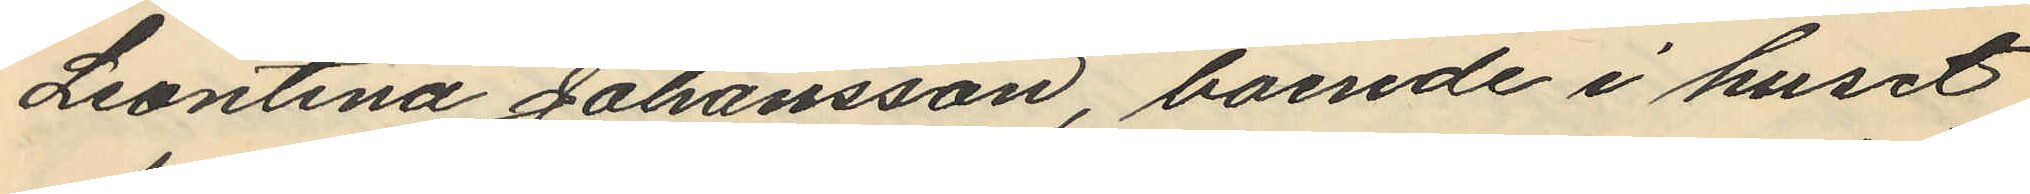Leontina Johansson, boende i huset
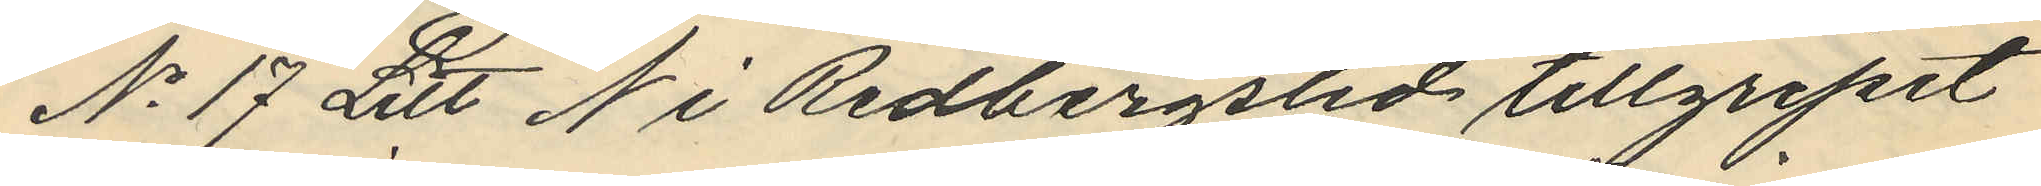No 17 Litt N i Redbergslid tillgripit
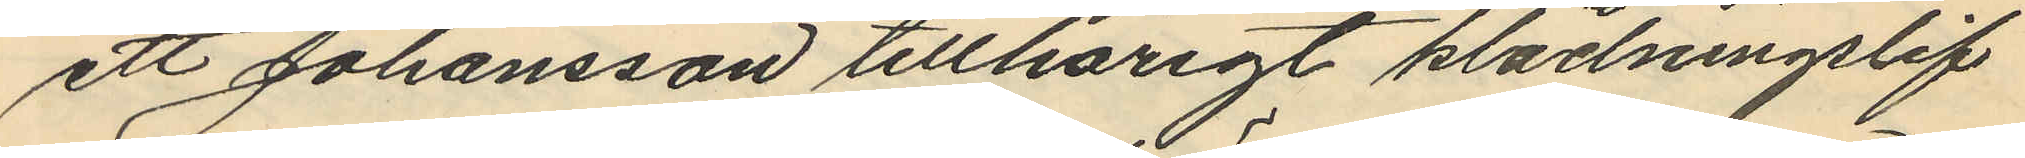ett Johansson tillhörigt klädningslif
